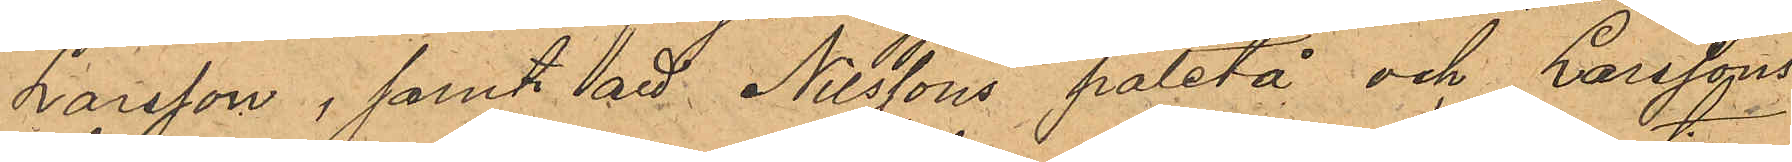Larsson; samt att Nilssons paletå och Larssons
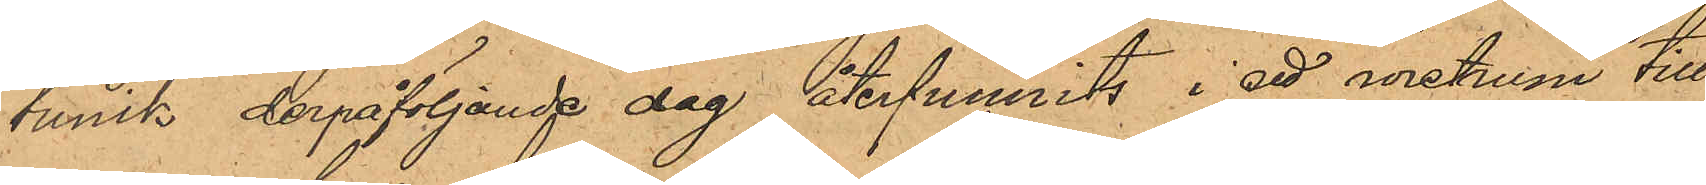tunik derpåföljande dag återfunnits i ett wretrum till
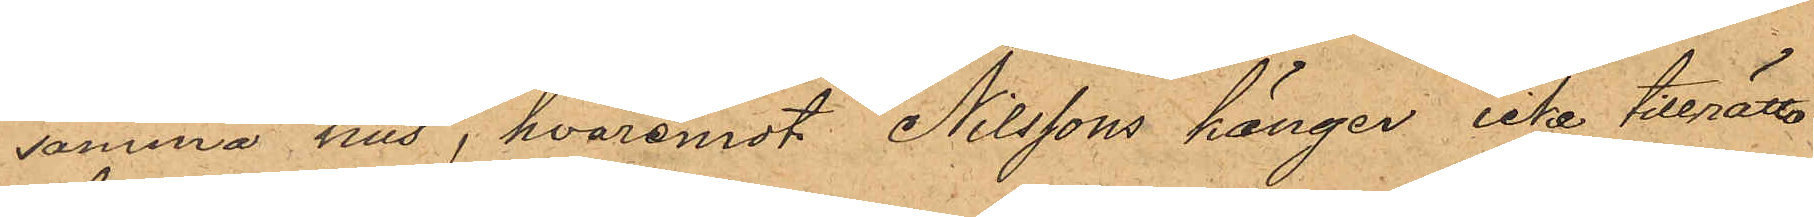samma hus, hvaremot Nilssons känger icke tillrätta¬
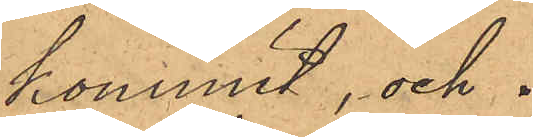kommit, och 
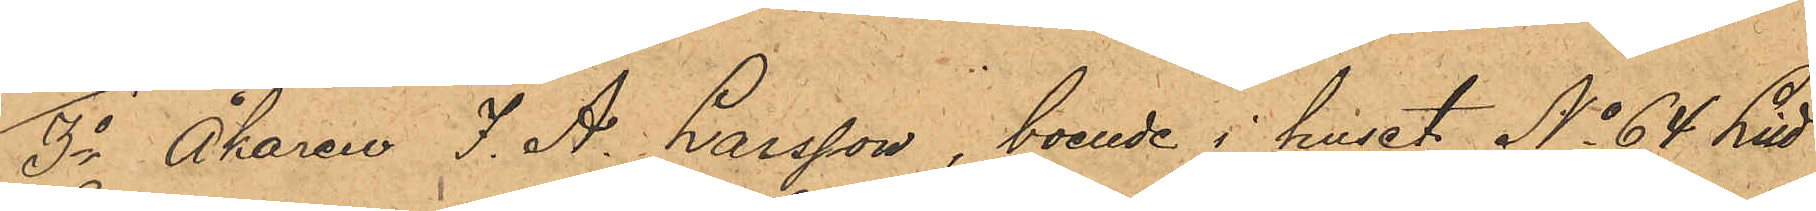3o Åkaren J. A. Larsson, boende i huset No 64 Litt
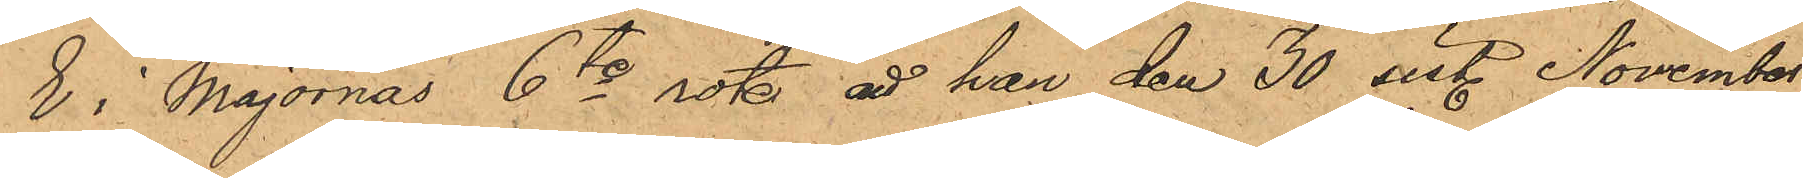E i Majornas 6te rote, att han den 30 sist. November
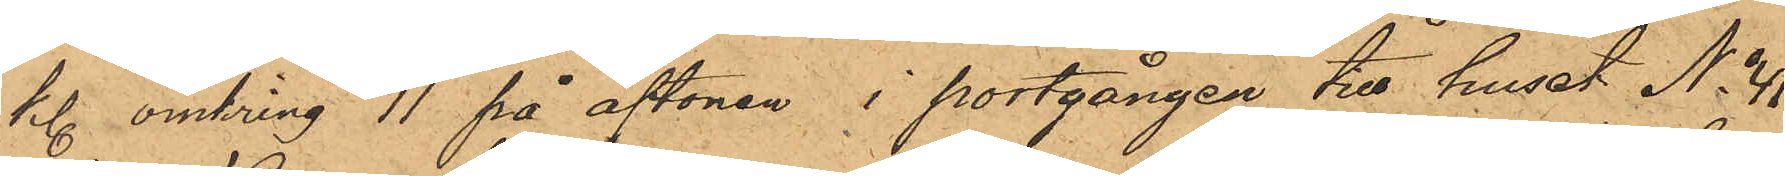kl. omkring 11 på aftonen i portgången till huset No 41
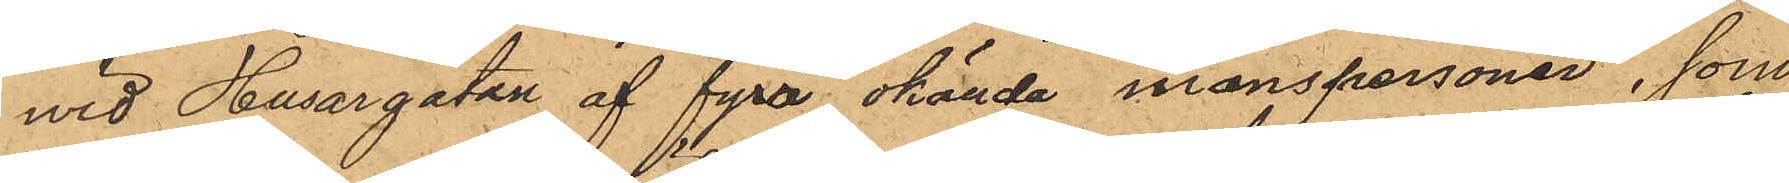wid Husargatan af fyra okända manspersoner, som
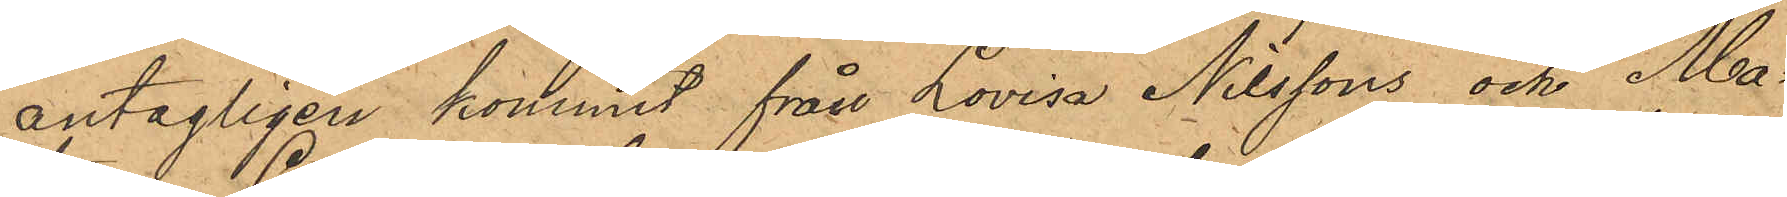antagligen kommit från Lovisa Nilssons och Ma¬
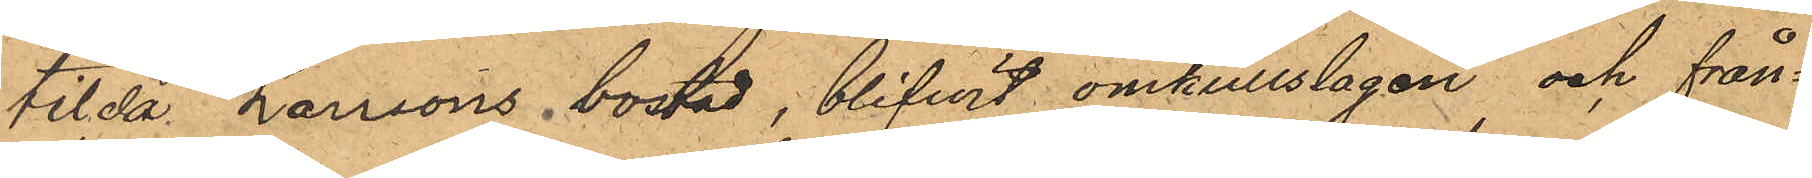tilda Larssons bostad, blifvit omkullslagen och från¬
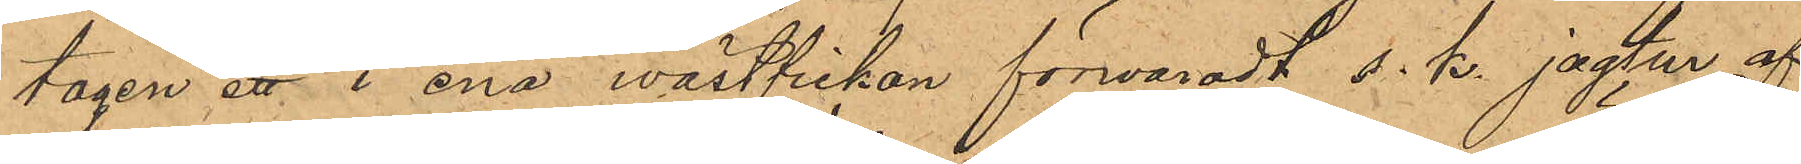tagen ett i ena wästfickan förwaradt s. k. jagtur af
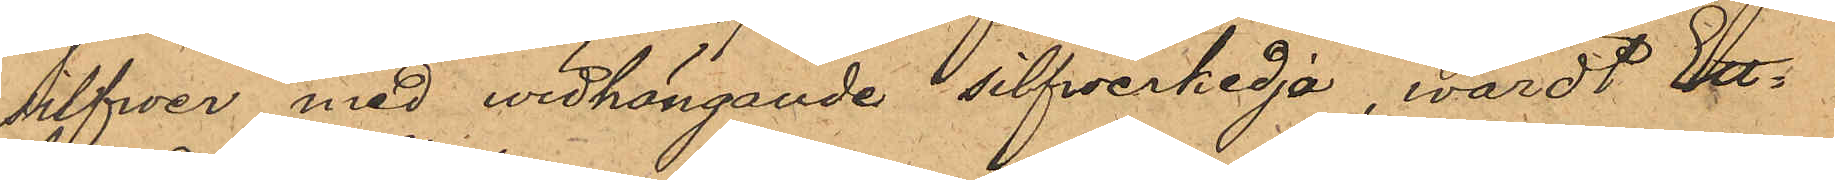silfwer med widhängande silfwerkedja, värdt Ett¬
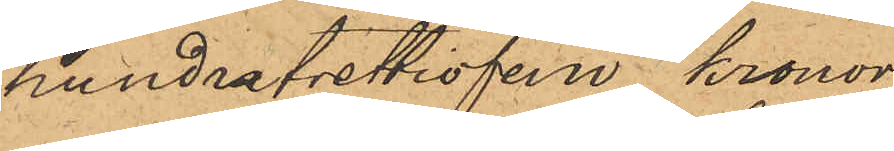hundratrettiofem kronor.
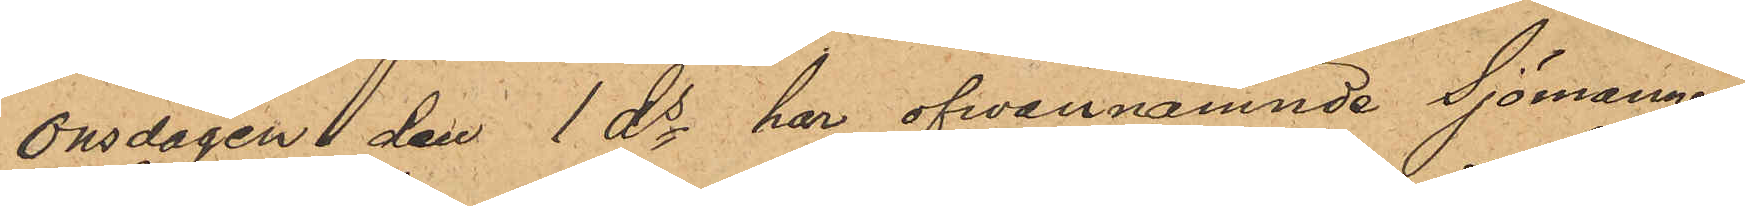Onsdagen den 1 ds har ofvannämnde Sjömannen
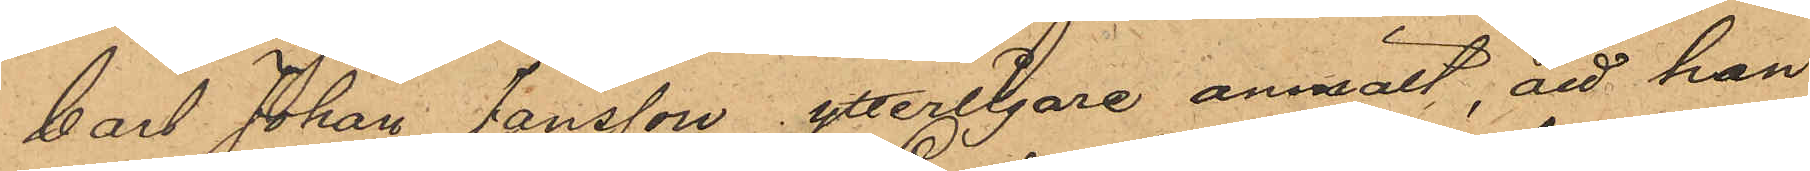Carl Johan Jonsson ytterligare anmält, att han
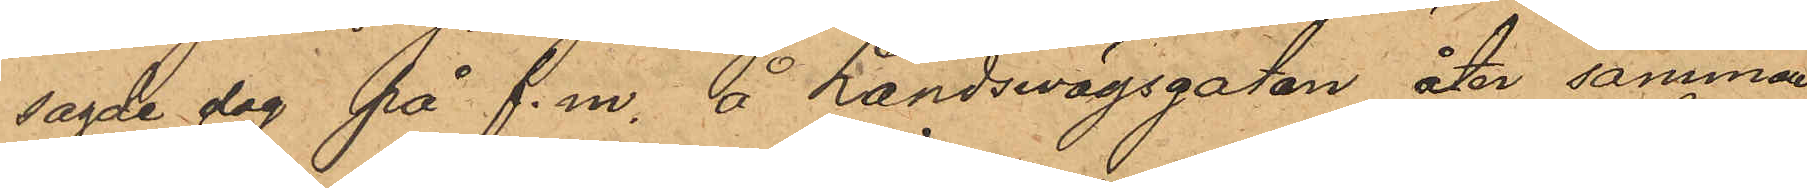sagde dag på f.m. å Landswägsgatan åter samman¬
